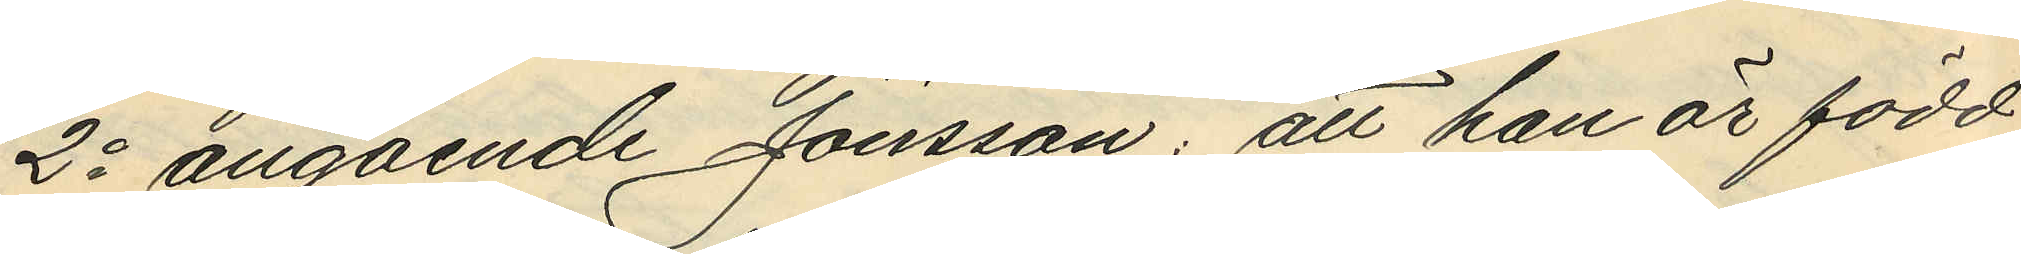2o angående Jönsson: att han är född
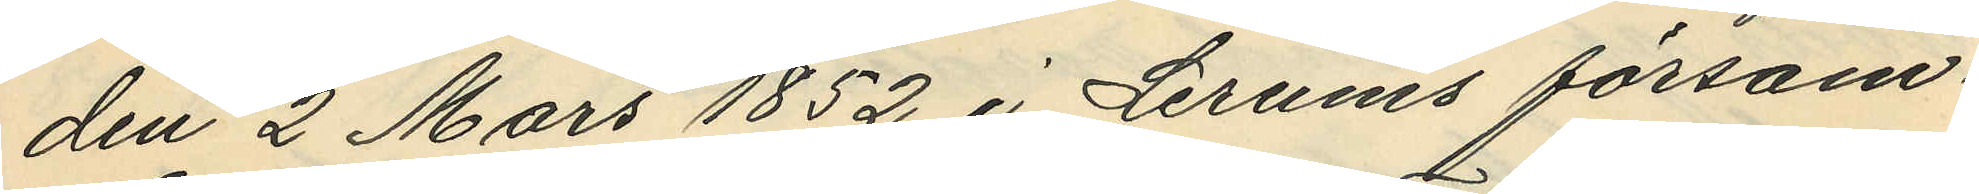den 2 Mars 1852 i Lerums försam¬
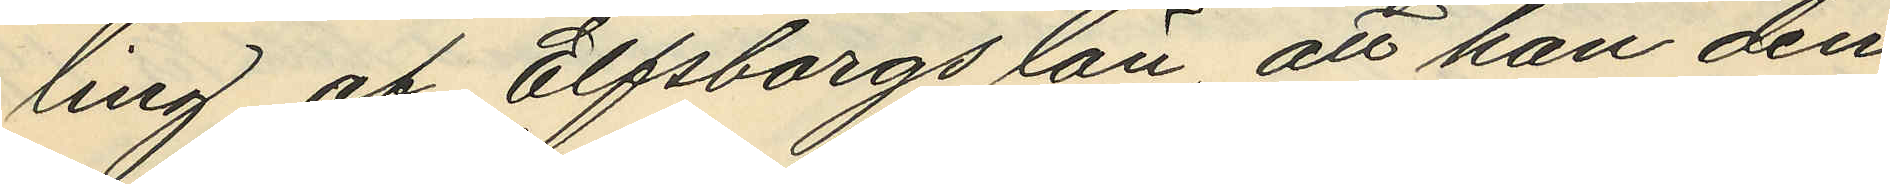ling af Elfsborgs län att han den
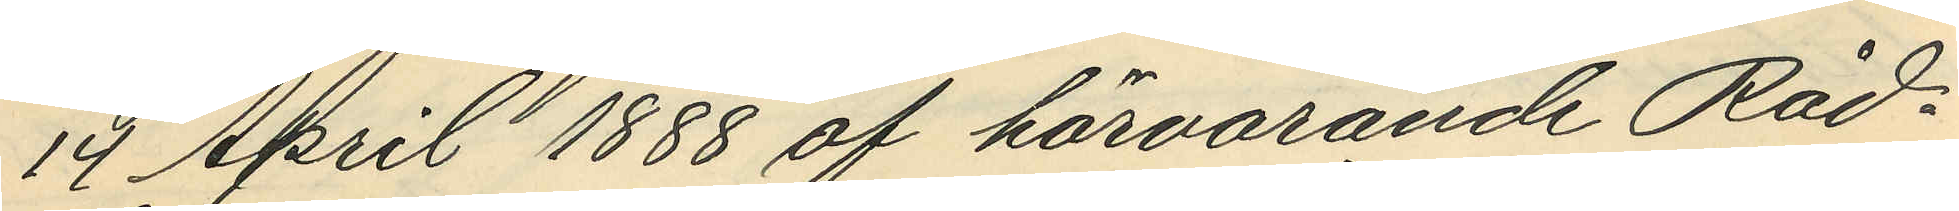14 April 1888 af härvarande Råd¬
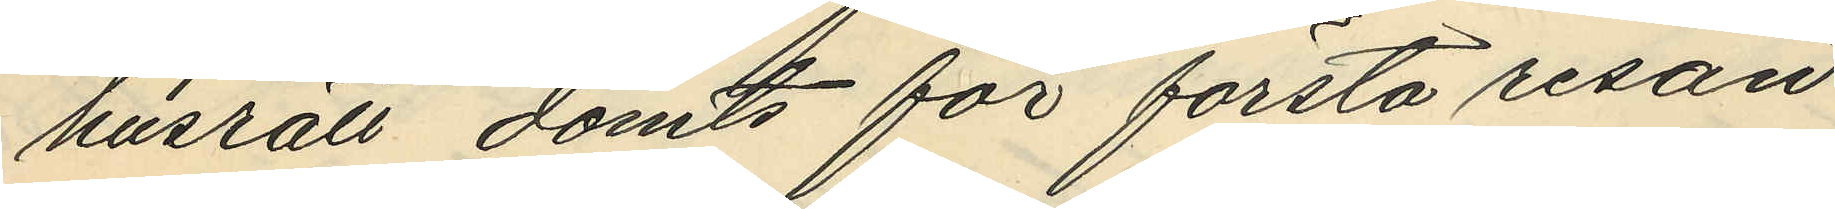husrätt dömts för första resan
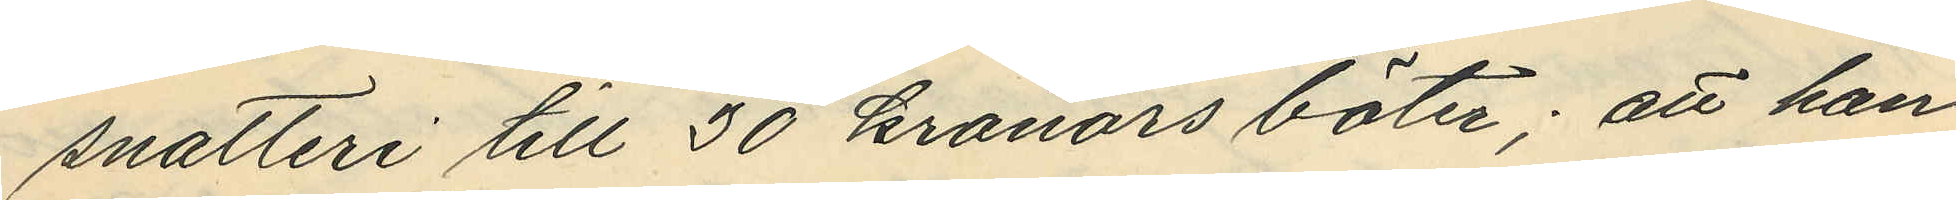snatteri till 30 kronors böter; att han
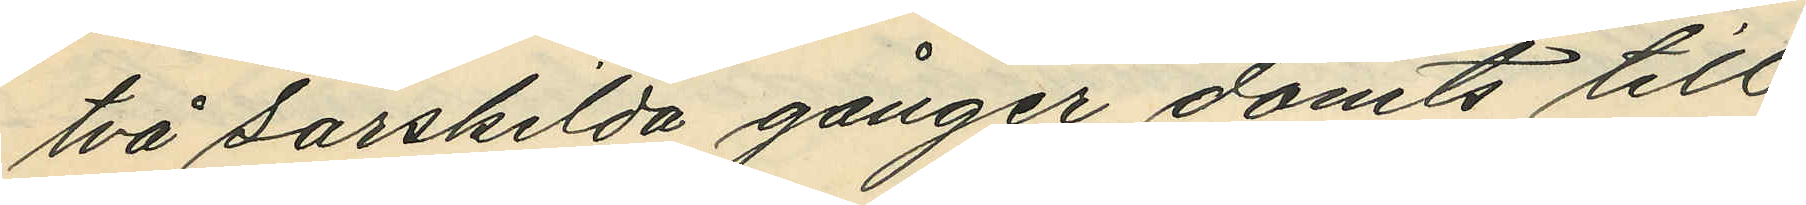två särskilda gånger dömts till
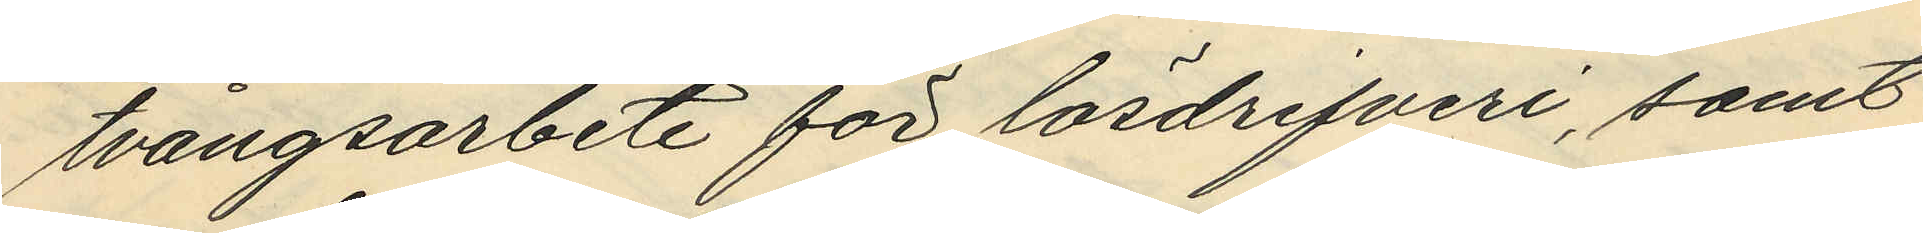tvångsarbete för lösdrifveri, samt
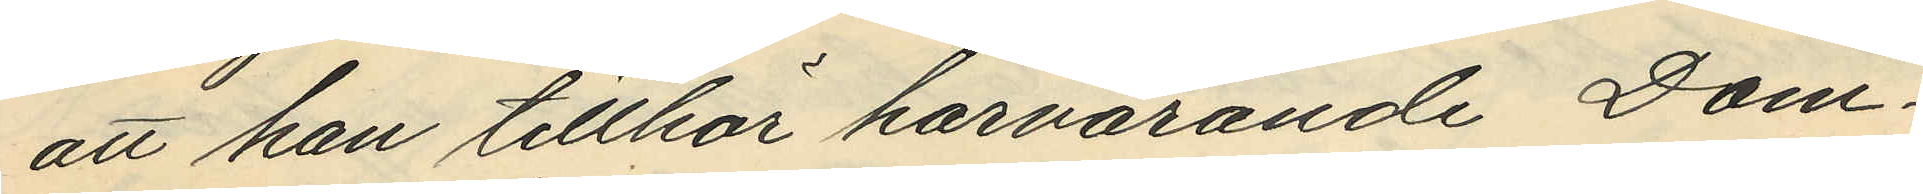att han tillhör härvarande Dom¬
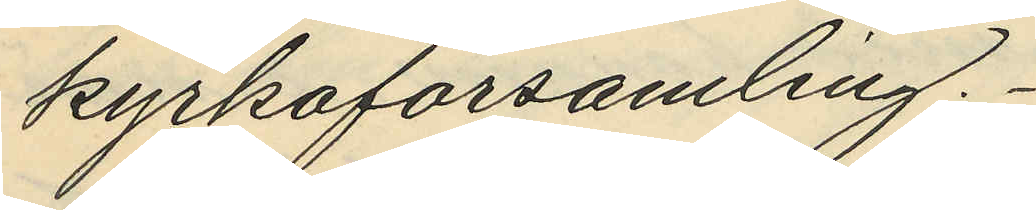kyrkoförsamling.
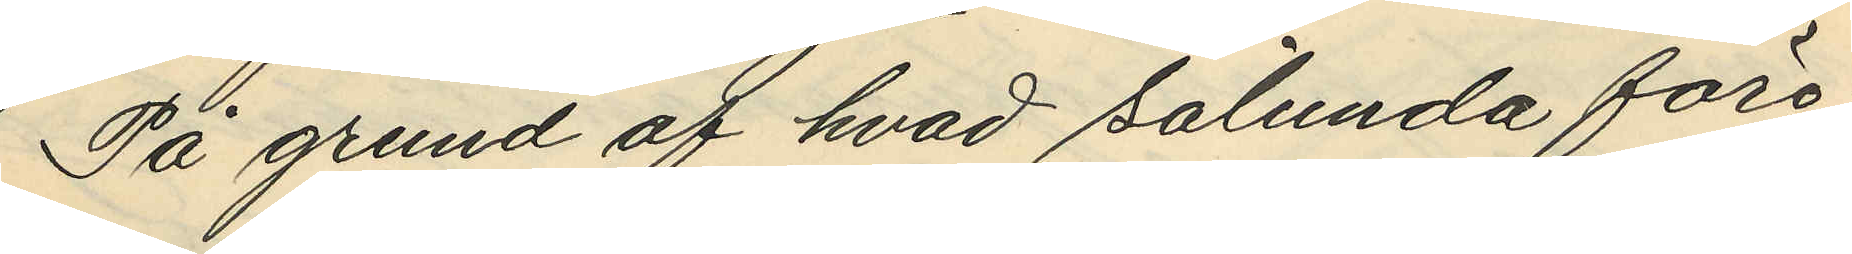På grund af hvad sålunda före¬
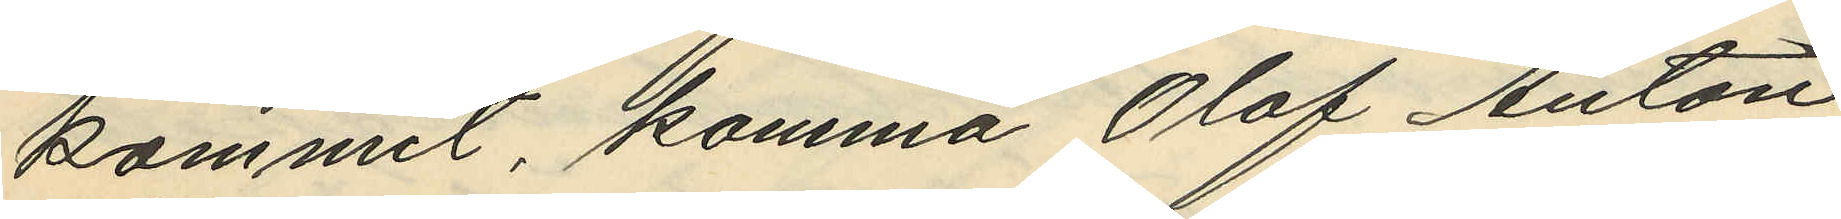kommit, komma Olof Anton
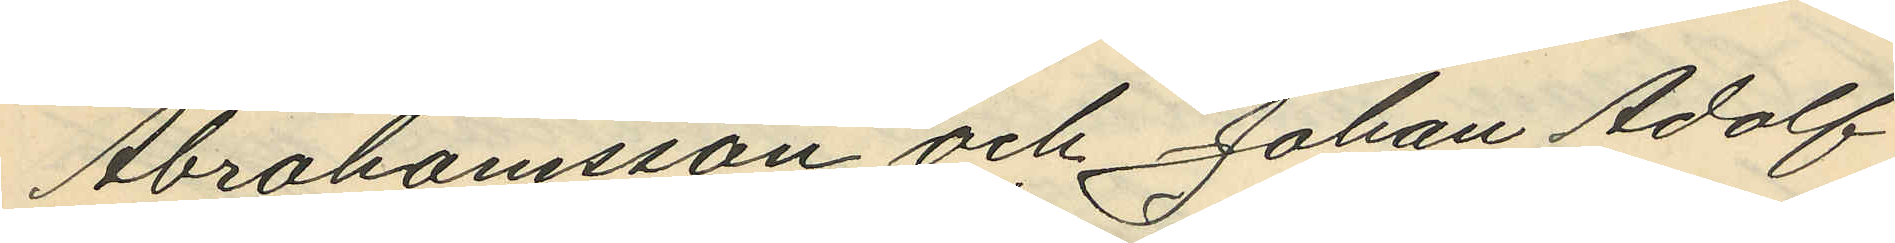Abrahamsson och Johan Adolf
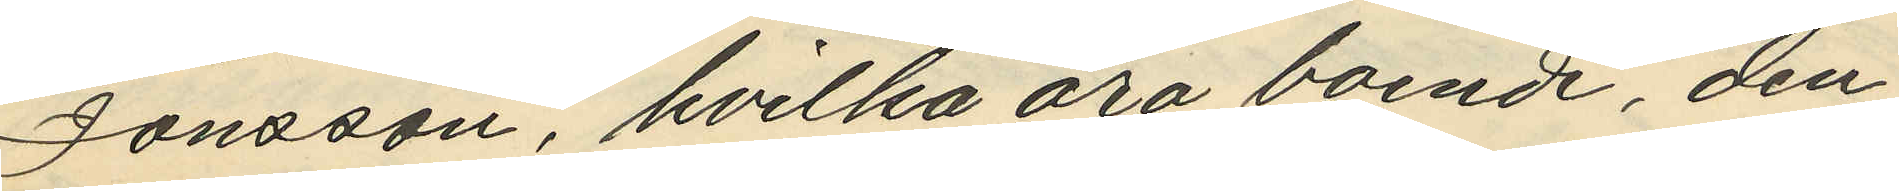Jönsson, hvilka äro boende den
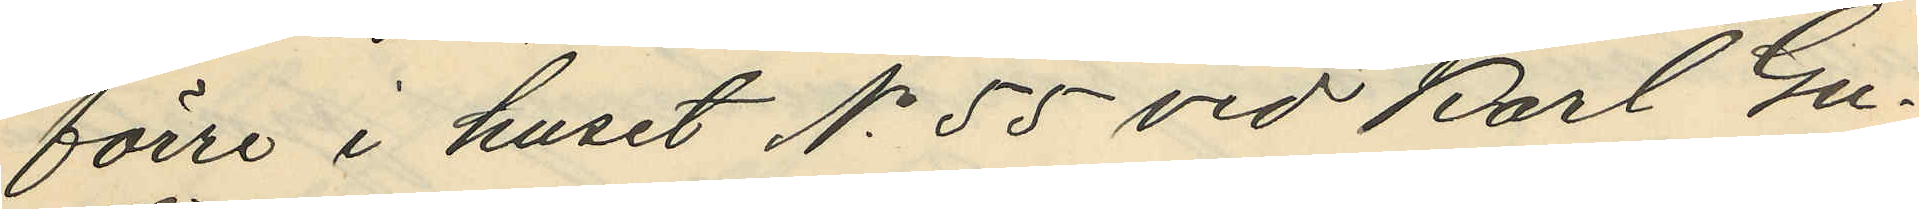förre i huset No 55 vid Karl Gu¬
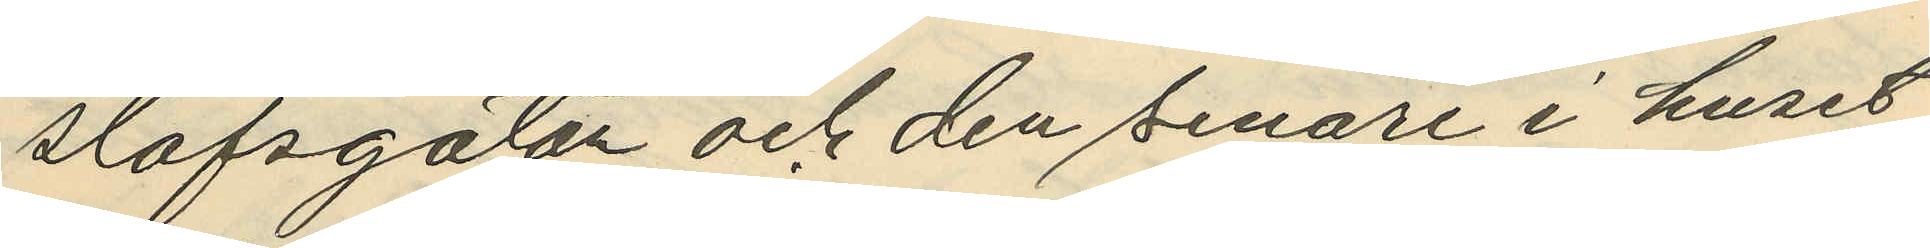stafsgatan och den senare i huset
